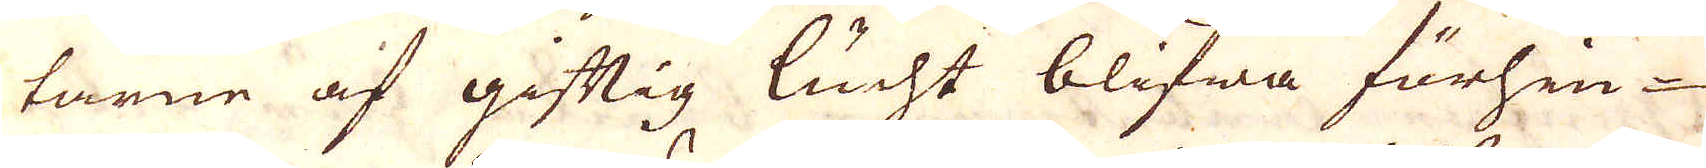tarne af giftig lucht blifwa förhin-
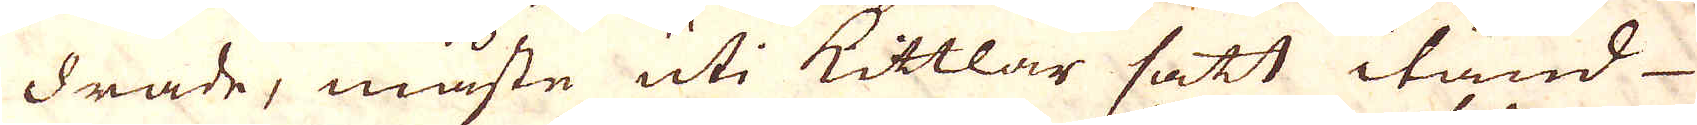drade, måste uti Kittlar satt itänd-
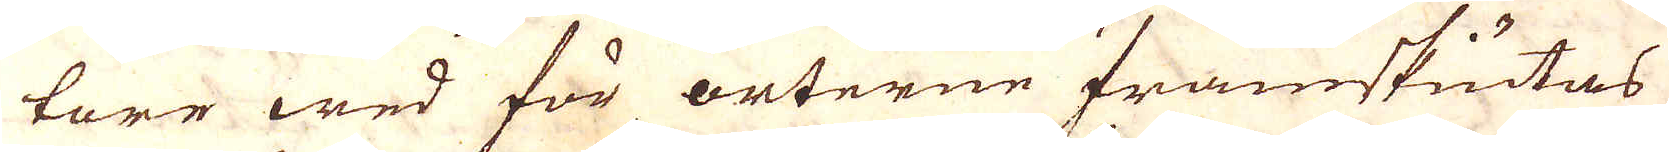tare wed för orterne framskiutas
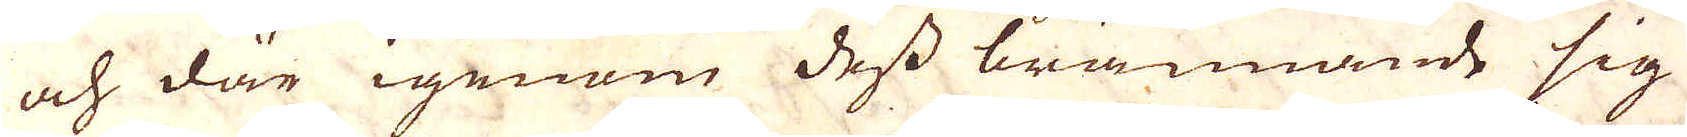och där igenom dess brännande sig
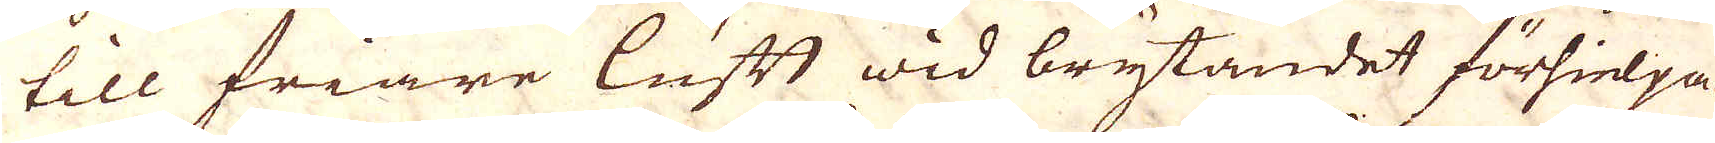till friare luft wid brytandet förhielpa.
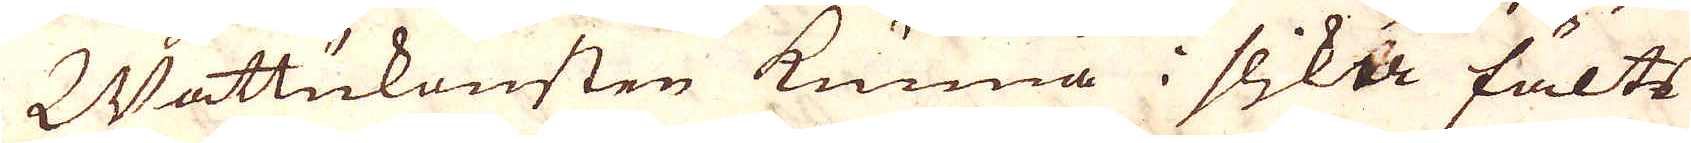Wattukonsten kunna i slika fälts
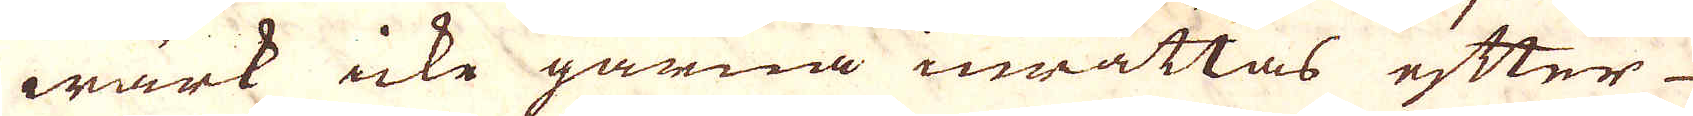wärk icke gärna inrättas efter
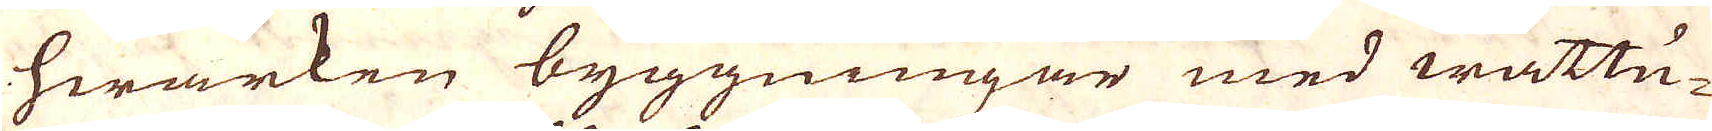hwarken byggningar med wattu-
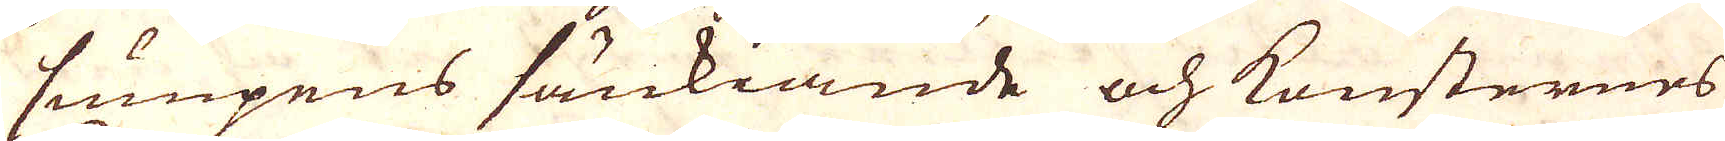sumpens sänkiande och konsternes
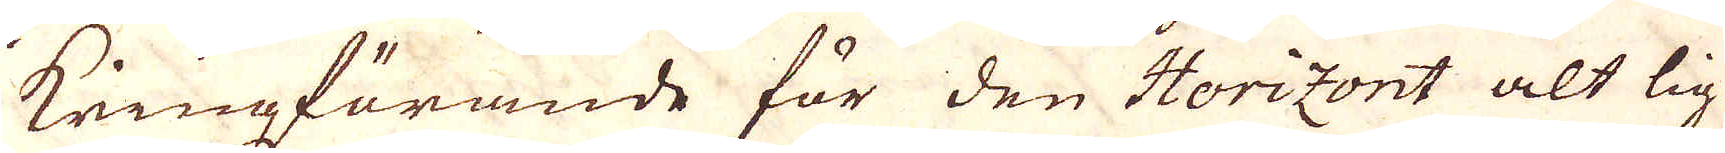kringförande för den Horizont alt lig-
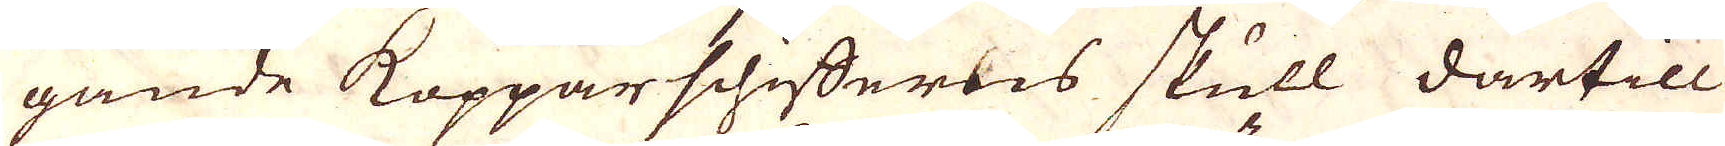gande Kopparschifferns skull därtill
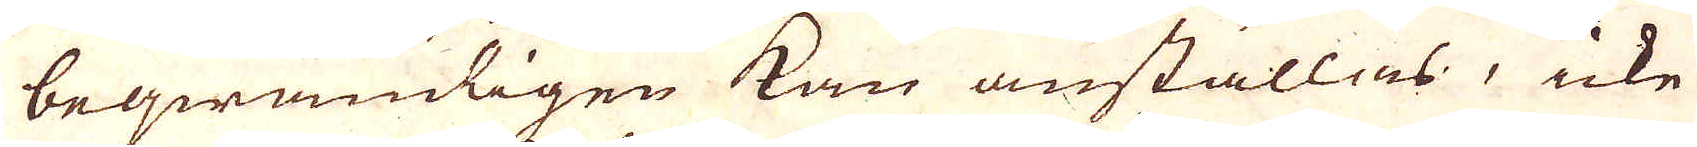beqwämligen kan anställas, icke
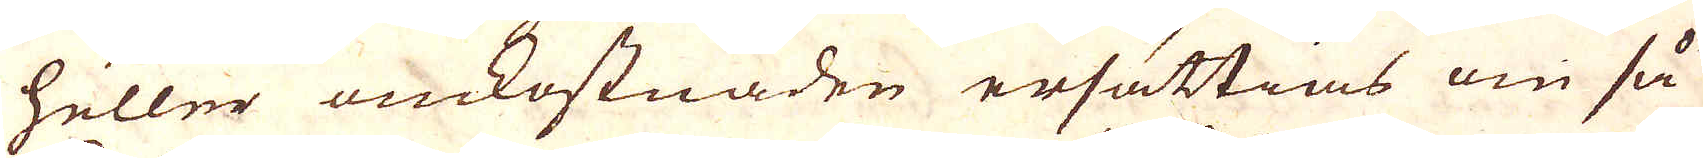heller omkostnaden ersättias om så
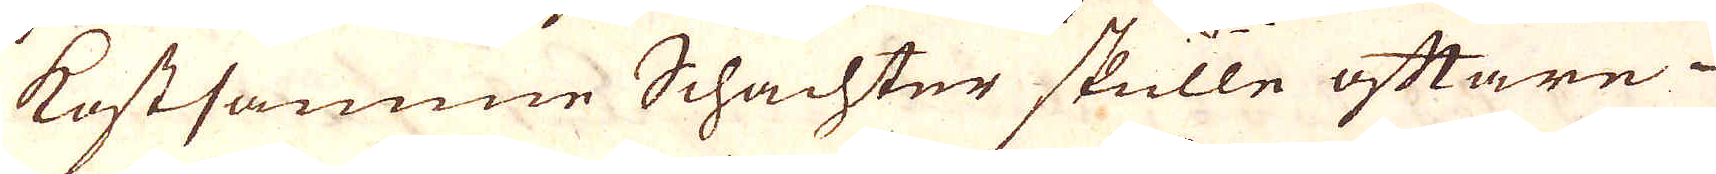kostsamme Schachter skulle ofttare
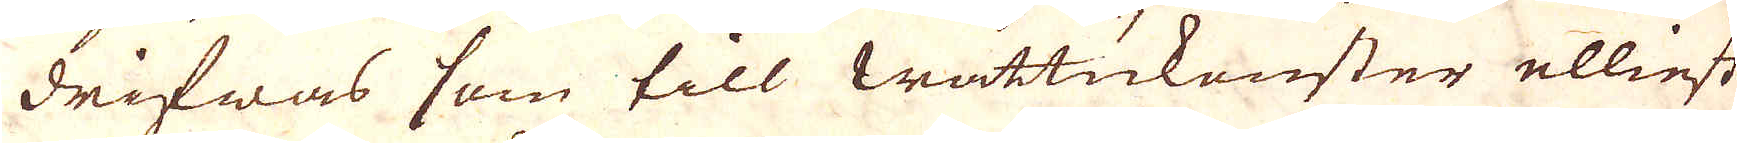drifwas som till wattukenster elliest
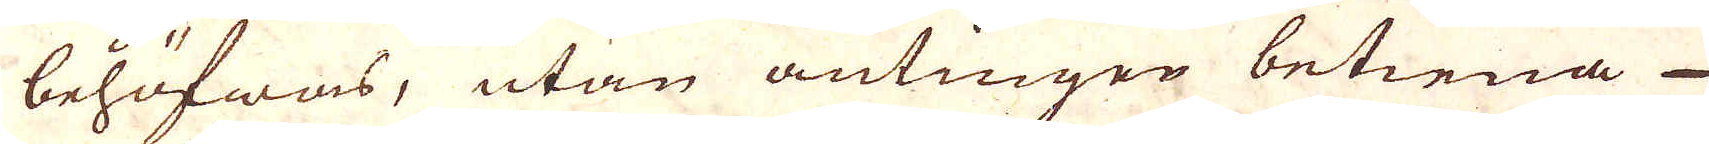behöfwas, utan antingen betiena
